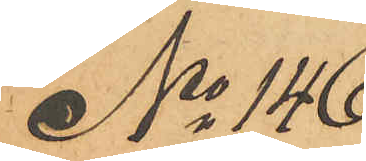No 146
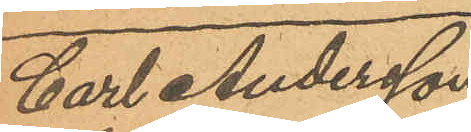Carl Andersson
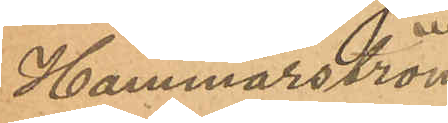Hammarström
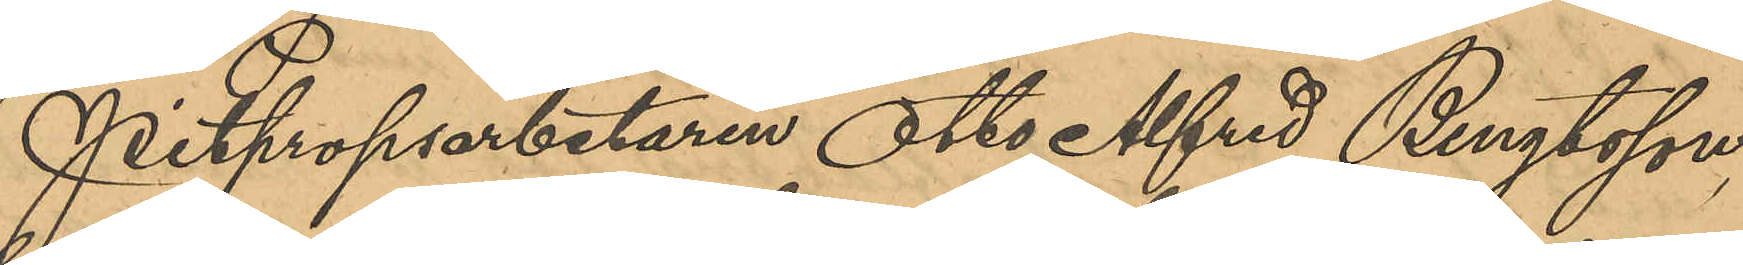Pitpropsarbetaren Otto Alfred Bengtsson,
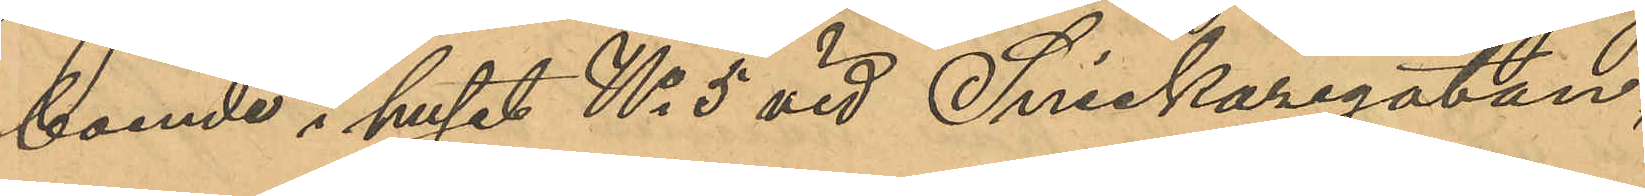boende i huset No 5 vid Snickaregatan,
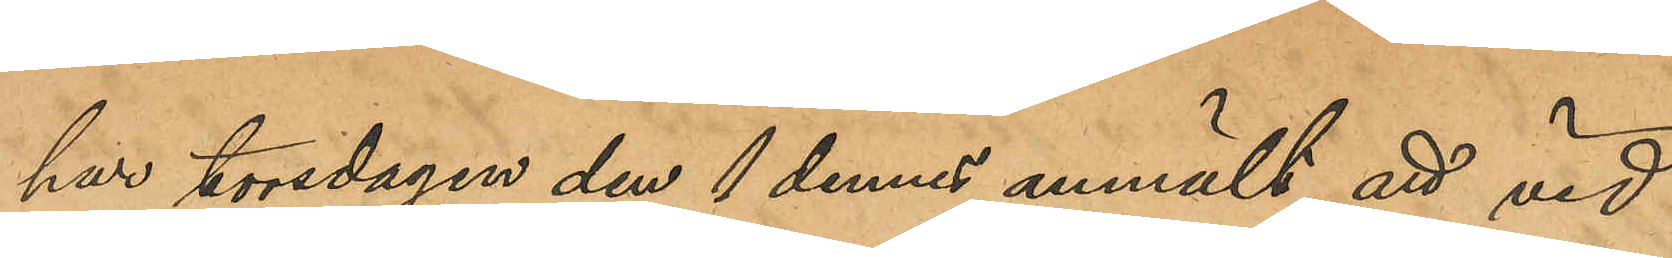har torsdagen den 1 dennes anmält att vid
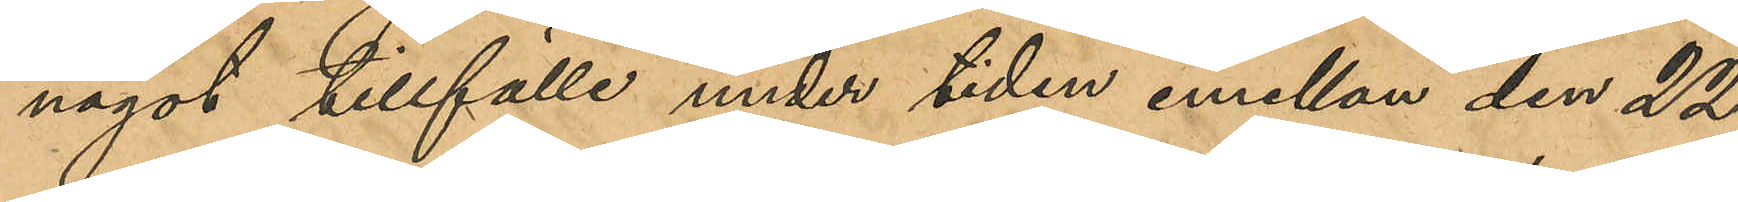något tillfälle under tiden emellan den 22
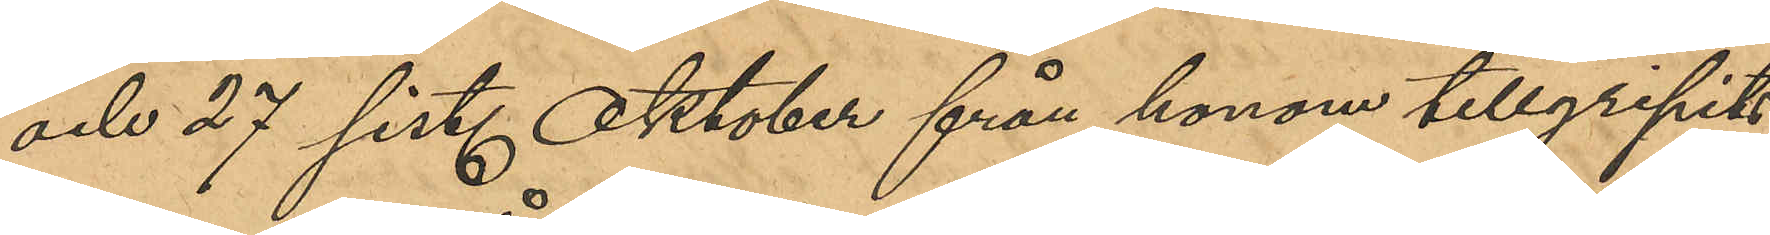och 27 sist. Oktober från honom tillgripits
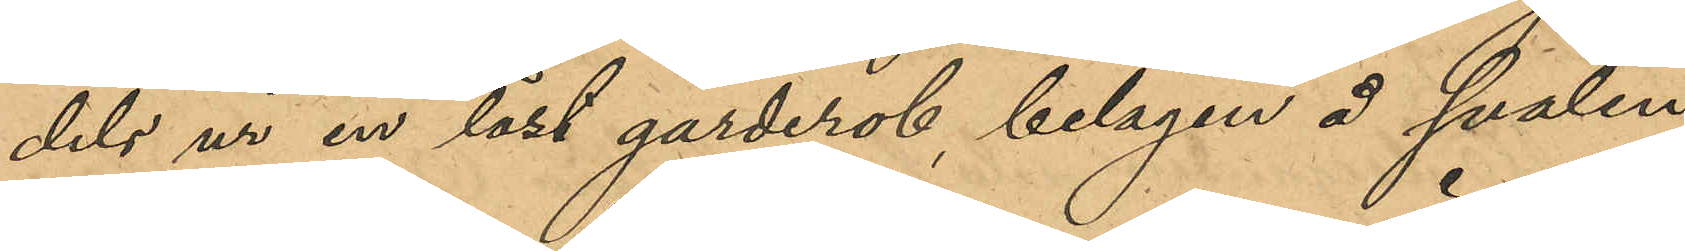dels ur en låst garderob, belägen å svalen
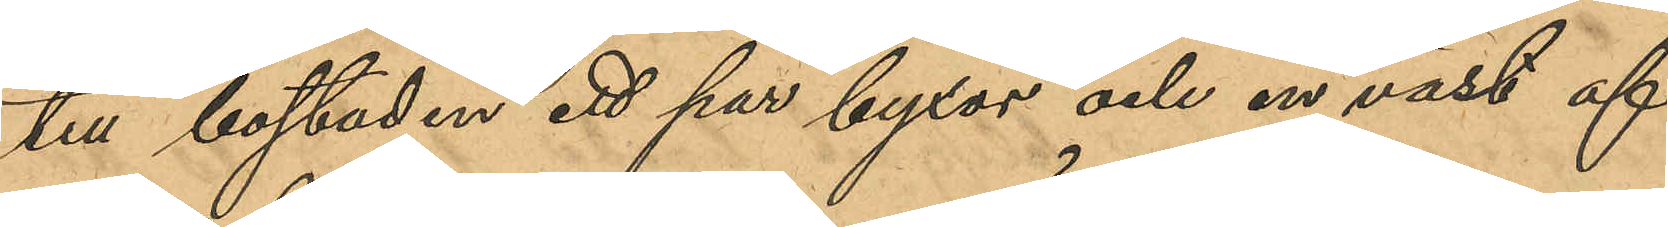till bostaden ett par byxor och en väst af
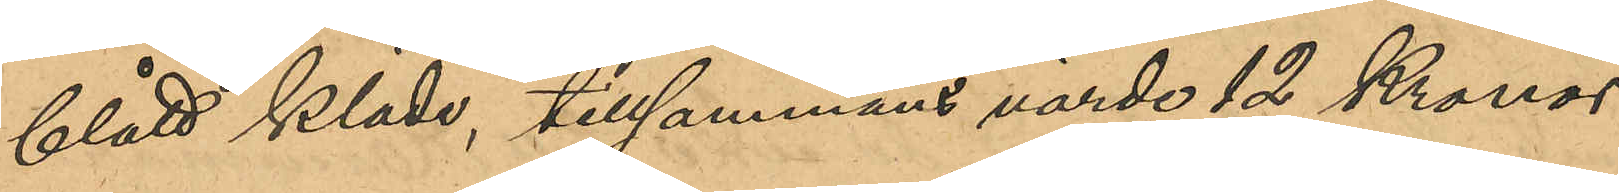blått kläde, tillsammans värde 12 Kronor,
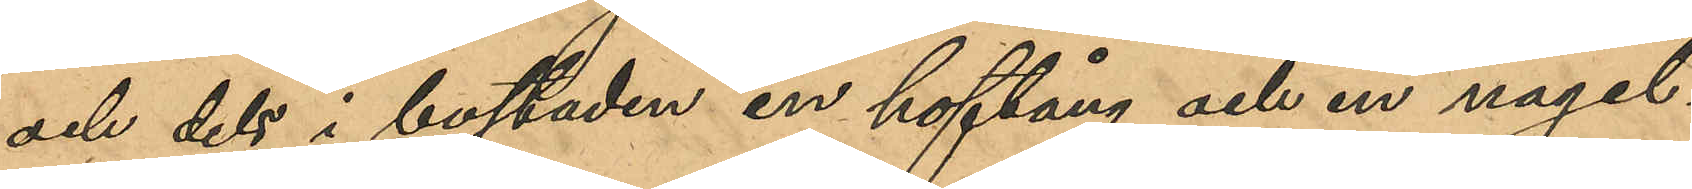och dels i bostaden en hoftång och en nagel¬
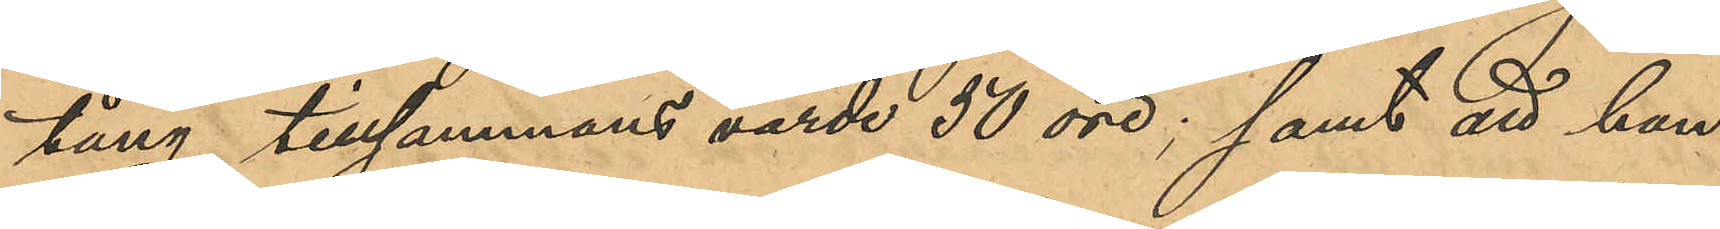tång, tillsammans värde 50 öre; samt att han
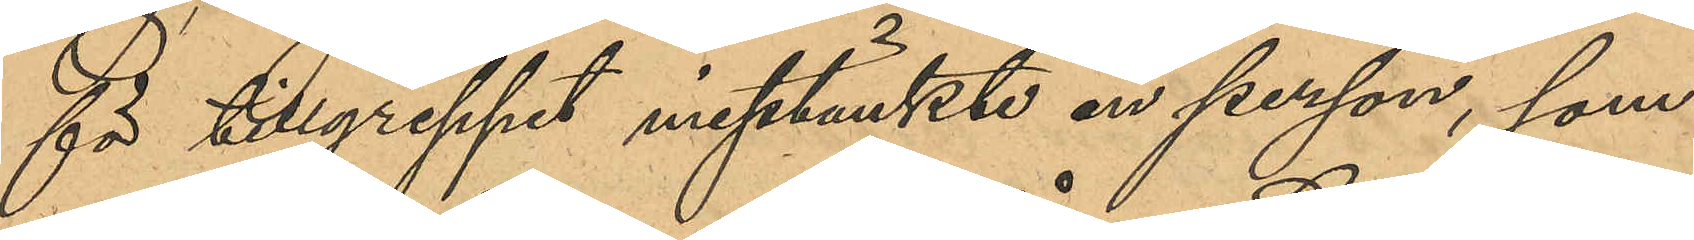för tillgreppet misstänkte en person, som
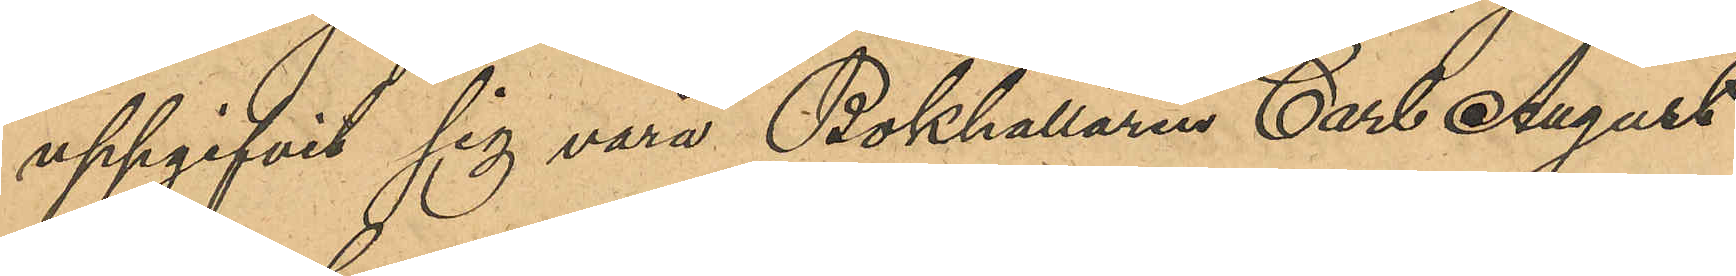uppgifvit sig vara Bokhållaren Carl August
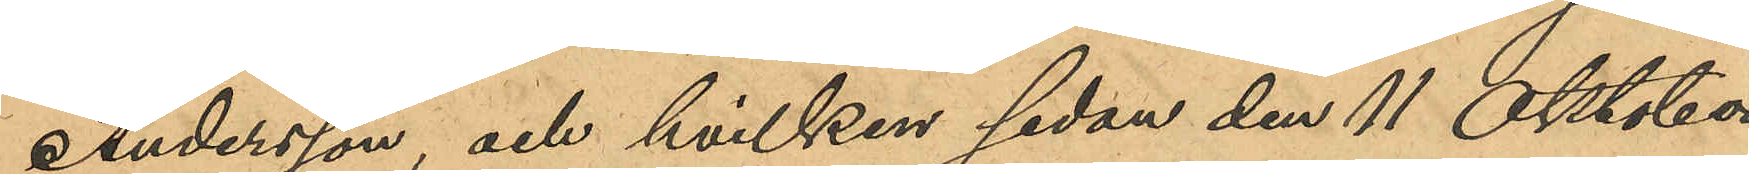Andersson, och hvilken sedan den 11 Oktober
